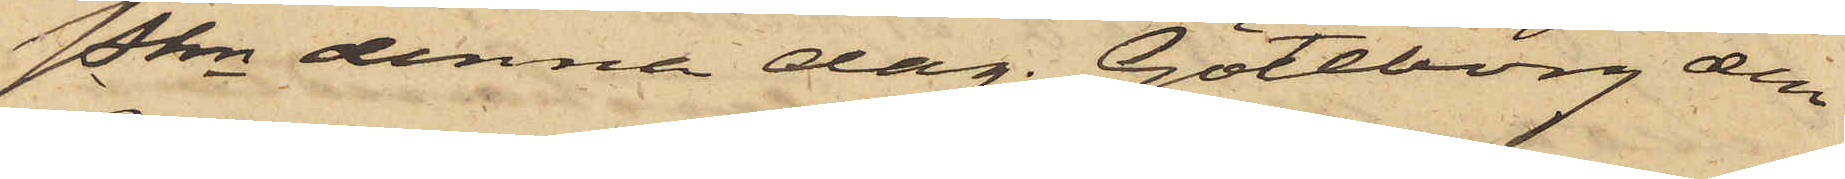Pkn denna dag. Göteborg den
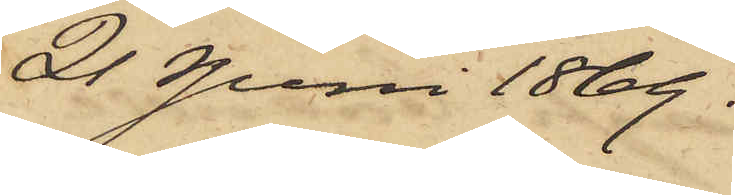21 Juni 1869.
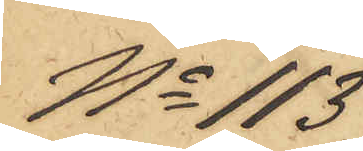No 113
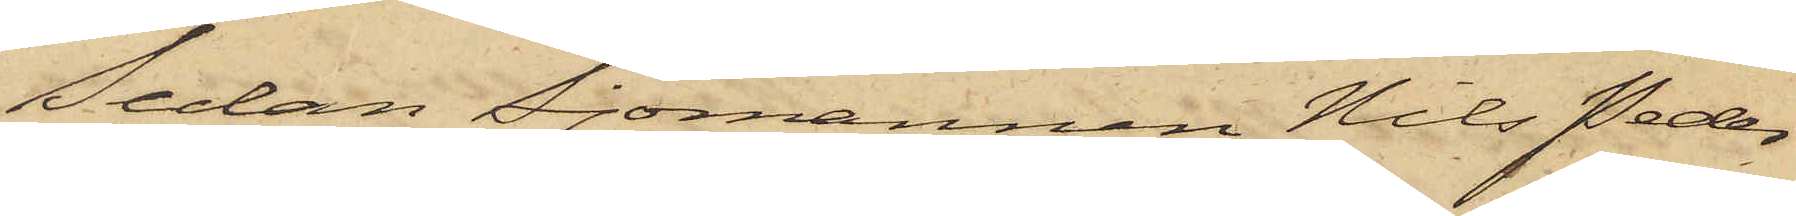Sedan Sjömannen Nils Peder
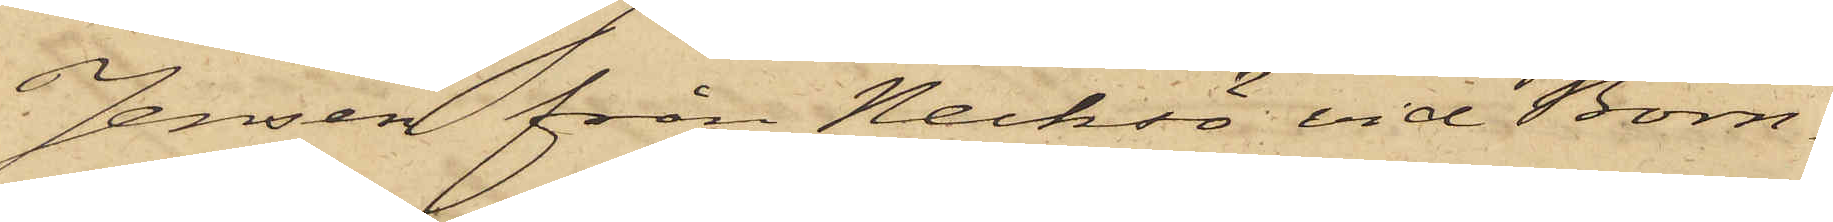Jensen från Necksö vid Born¬
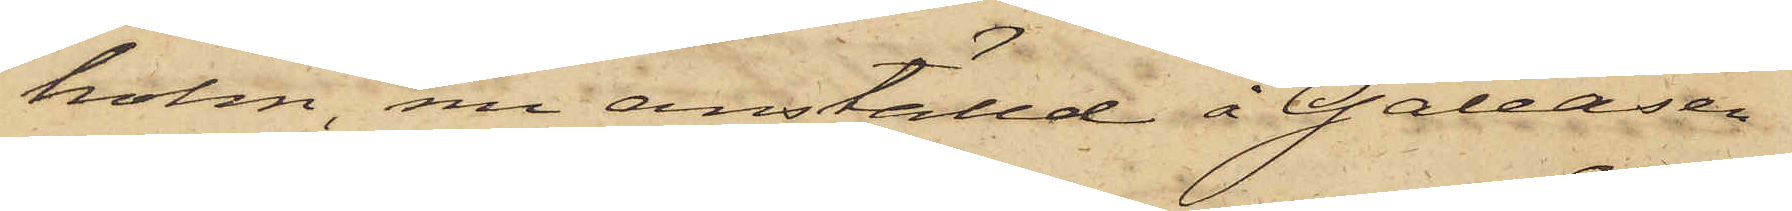holm, nu anställd å Galeasen
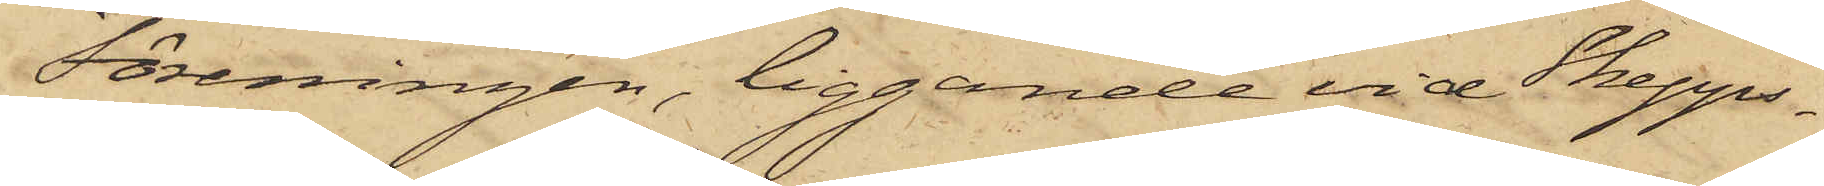Föreningen, liggande vid Skepps¬
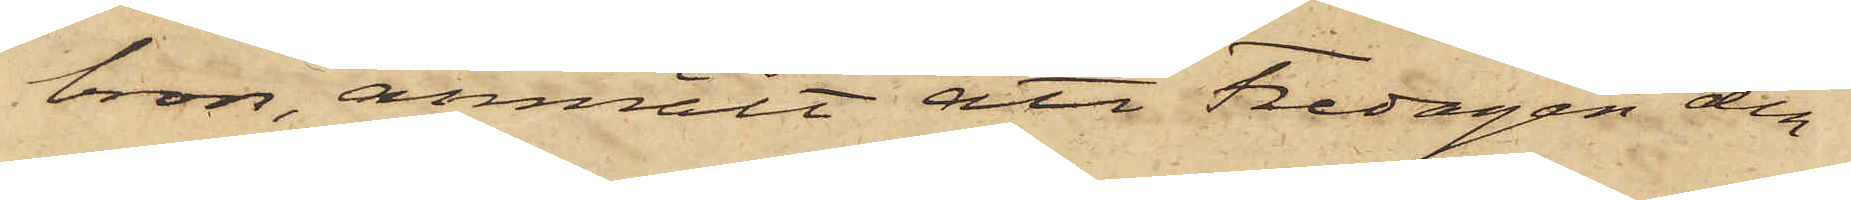bron, anmält att Fredagen den
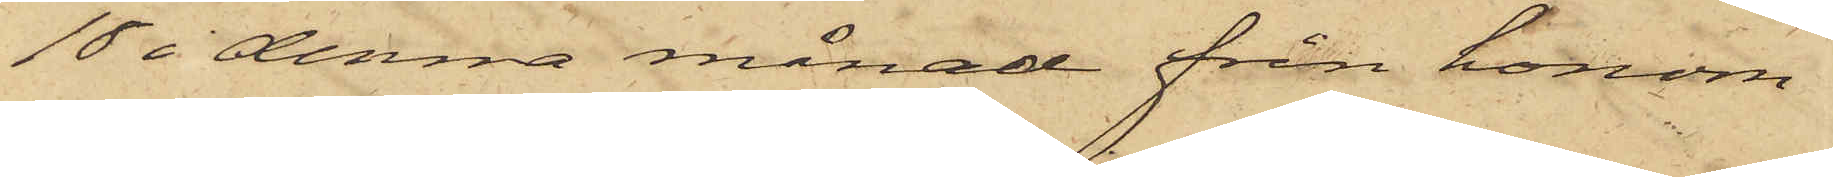18 i denna månad från honom
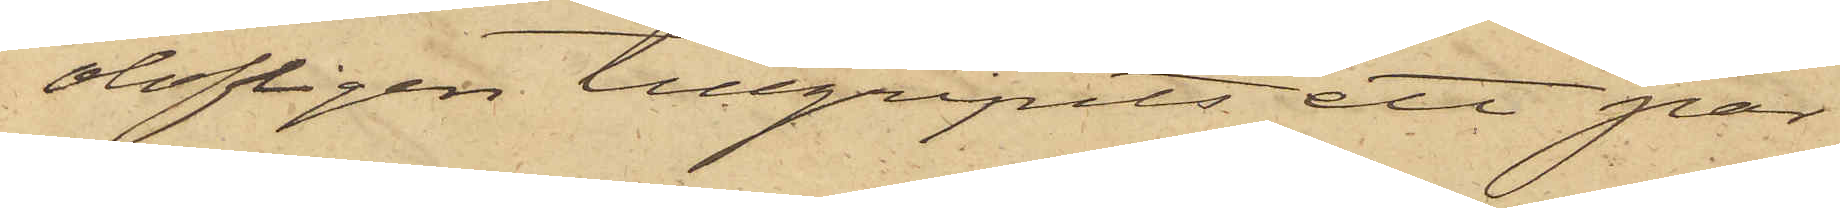olofligen tillgripits ett par
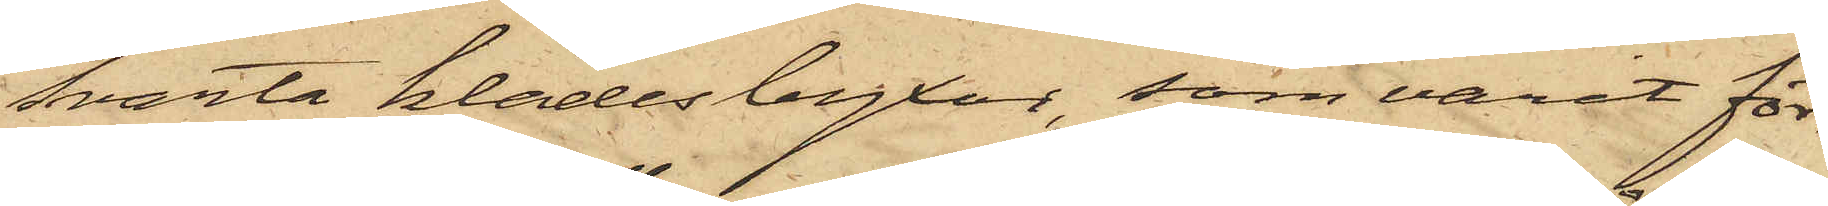svarta klädesbyxor som varit för¬
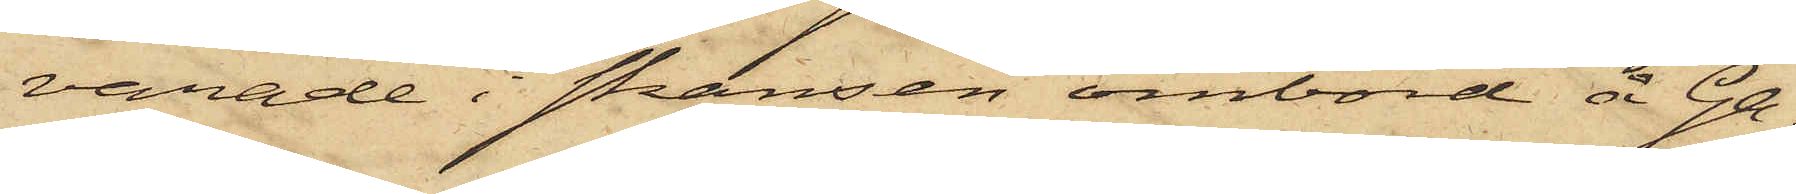varade i skansen ombord å Ga¬
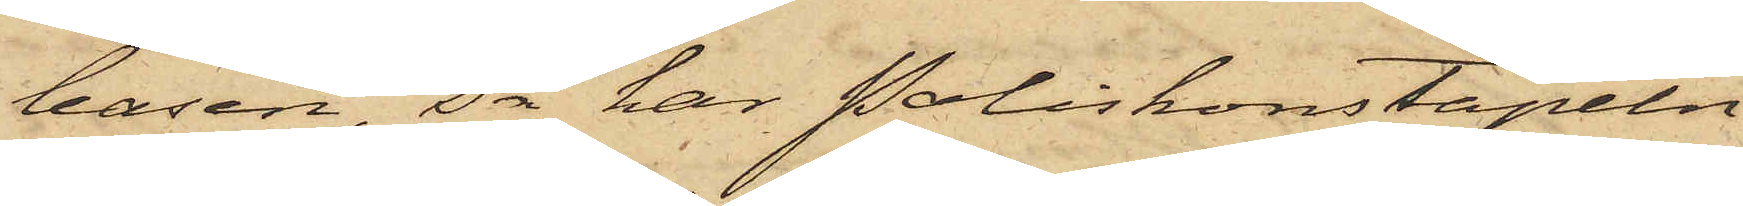leasen så har Poliskonstapeln
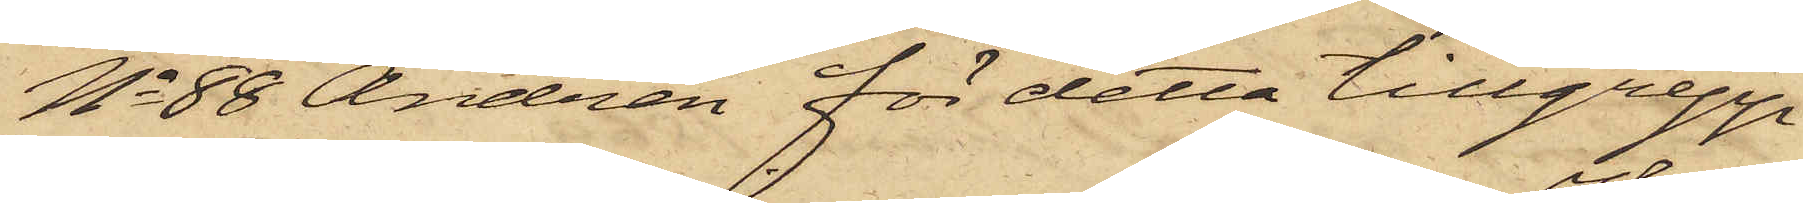No 88 Andrén för detta tillgrepp
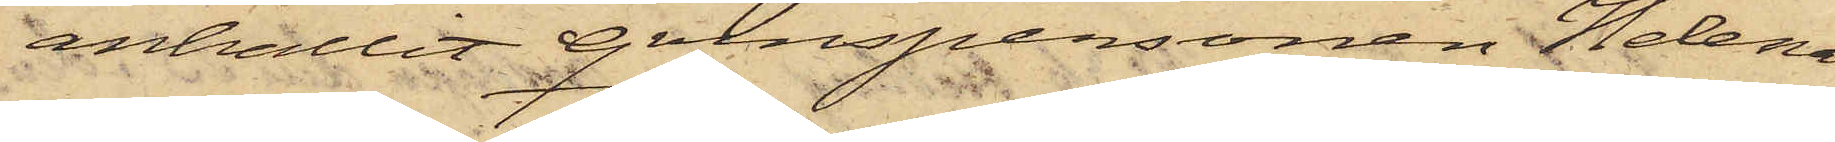anhållit qvinspersonen Helena
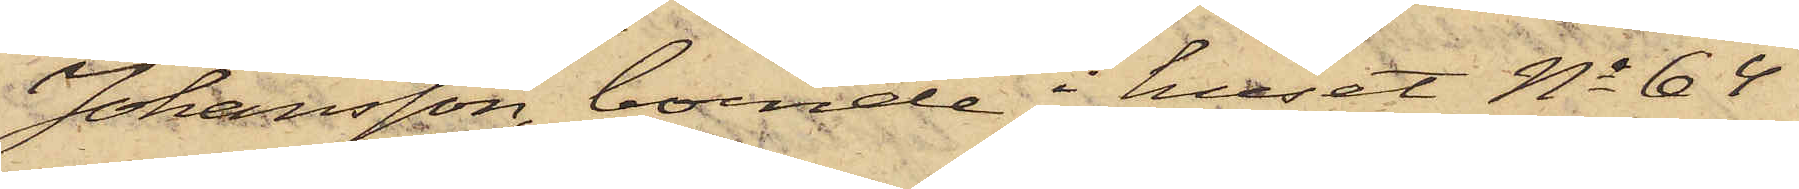Johansson, boende i huset No 64
